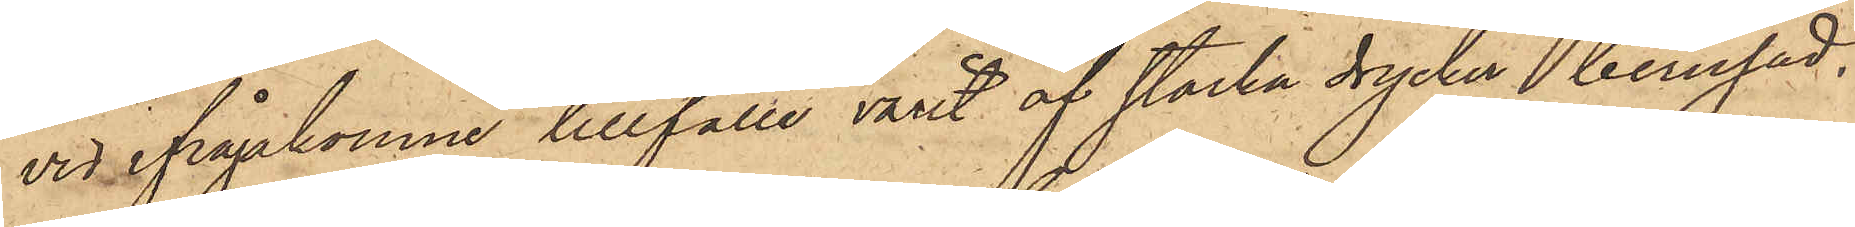vid ifrågakomne tillfälle varit af starka drycker berusad.
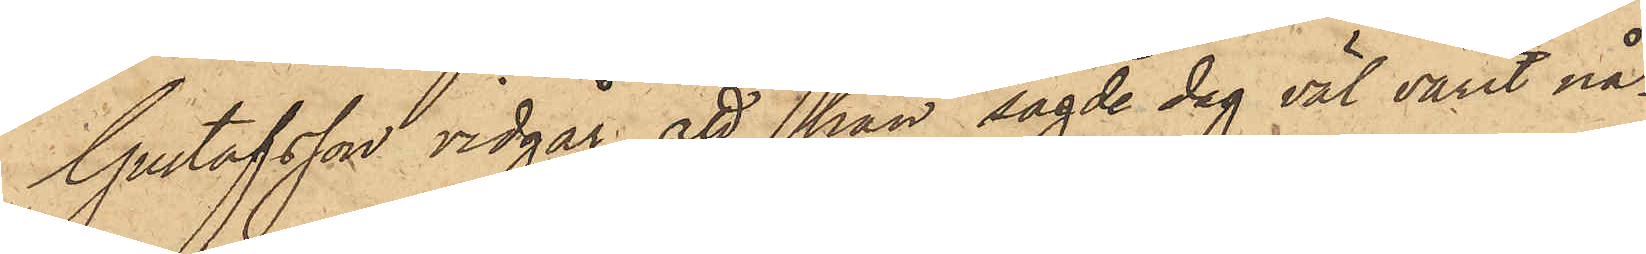Gustafsson vidgår, att han sagde dag väl varit nå¬
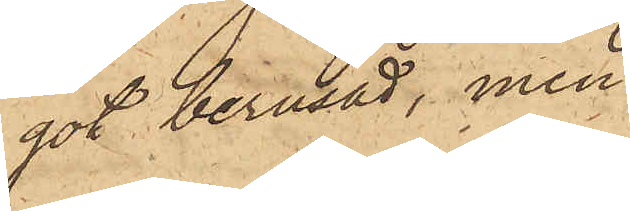got berusad, men
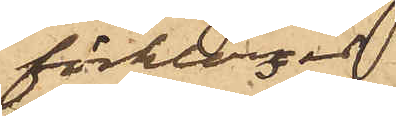förklarat,
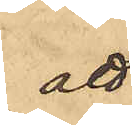att
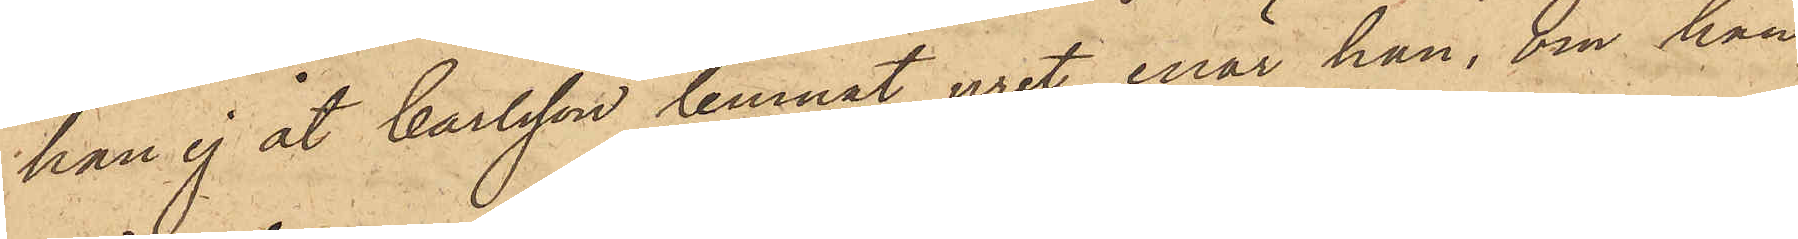han ej åt Carlsson lemnat uret, enär han, om han
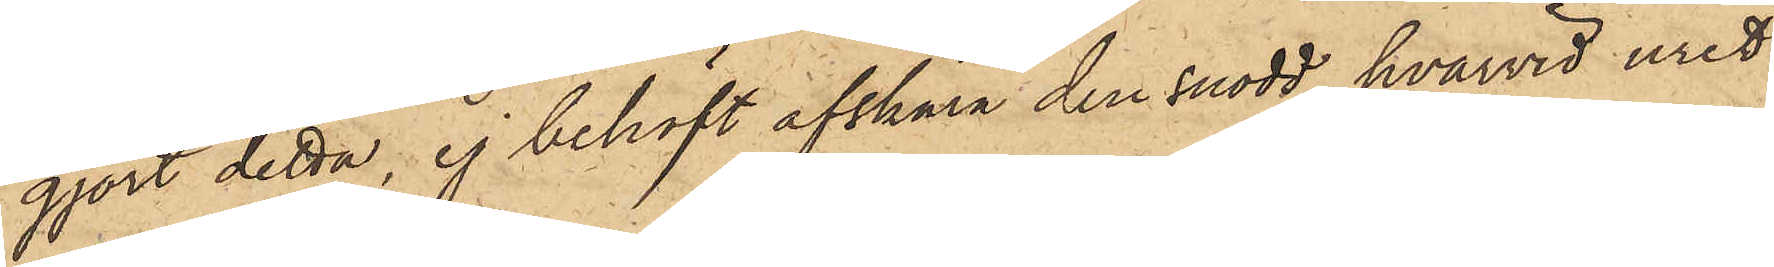gjort detta, ej behöft afskära den snodd, hvarvid uret
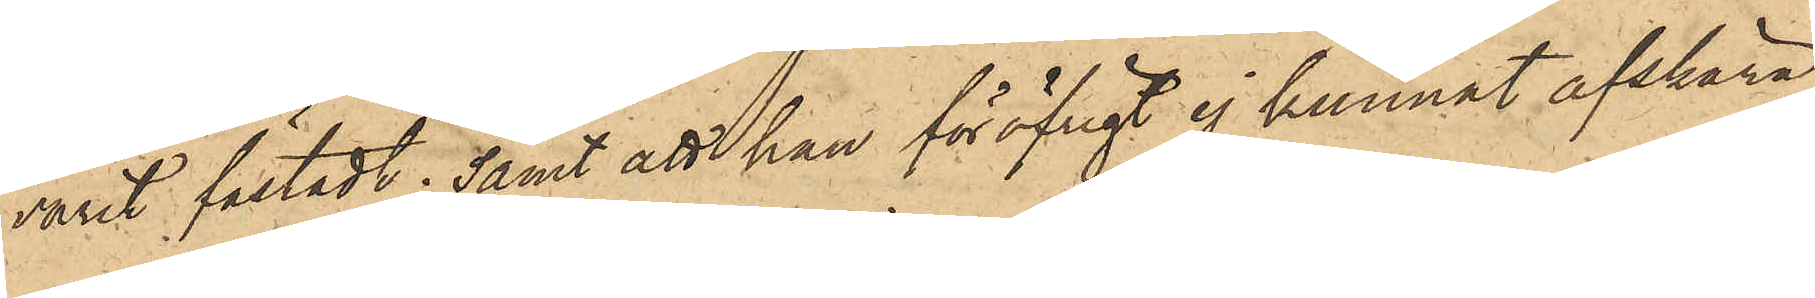varit fästadt; samt att han föröfrigt ej kunnat afskära
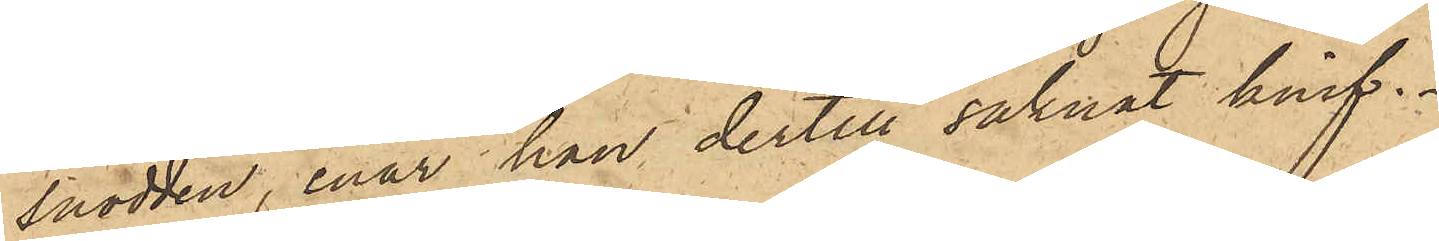snodden, enär han dertill saknat knif.
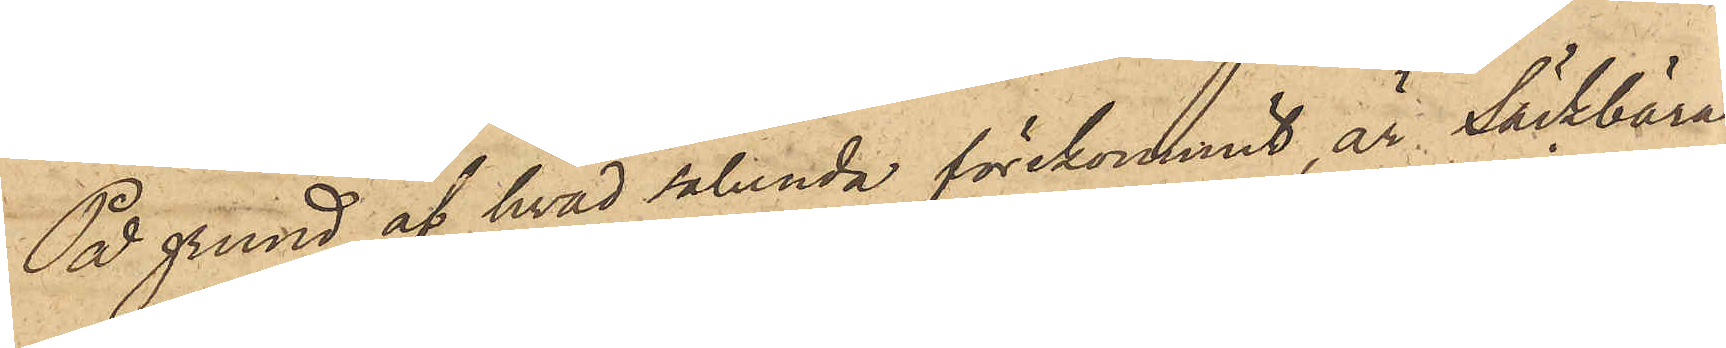På grund af hvad sålunda förekommit, är Säckbära¬
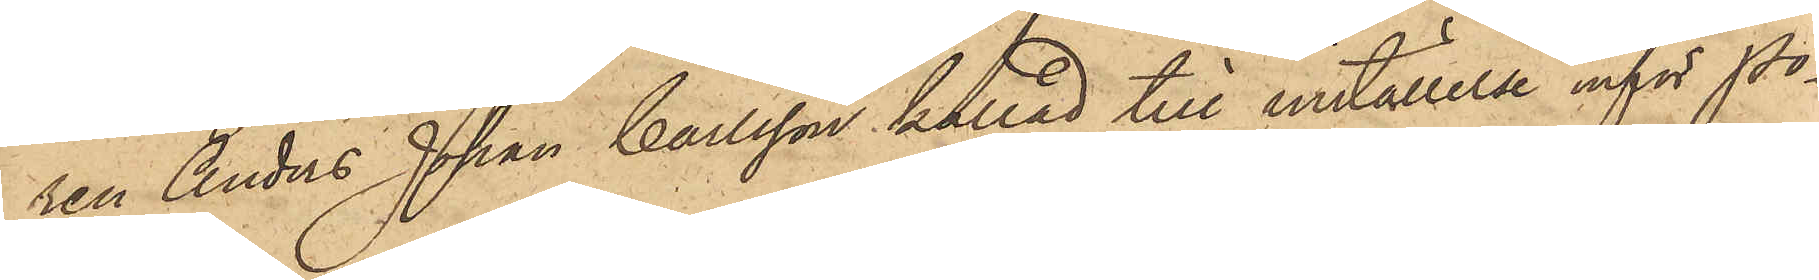ren Anders Johan Carlsson kallad till inställelse inför Po¬
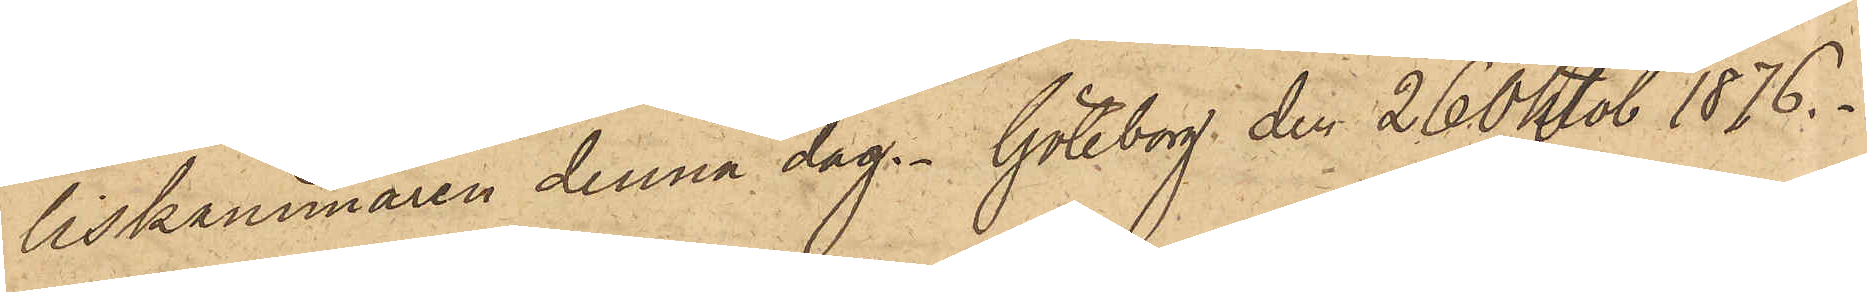liskammaren denna dag. Göteborg den 26 Oktob 1876.
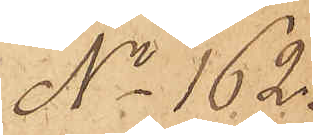No 162.
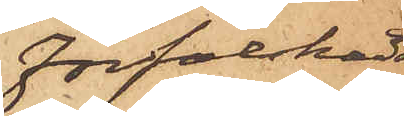Förfalskadt
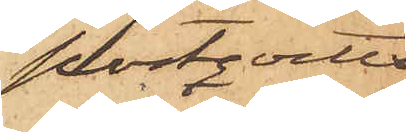postqvitto
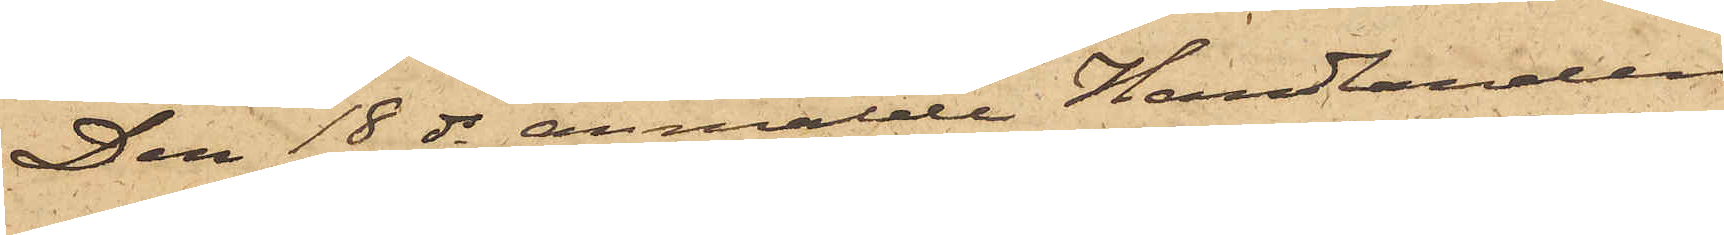Den 18 ds anmälde Handlanden
